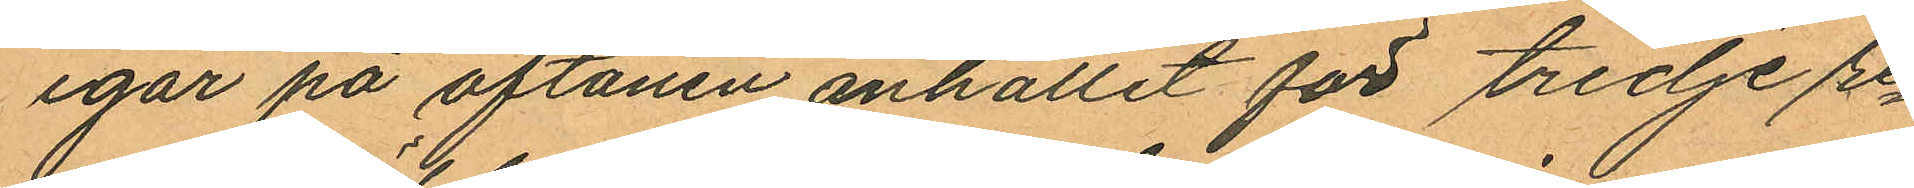igår på aftonen anhållit för tredje re¬
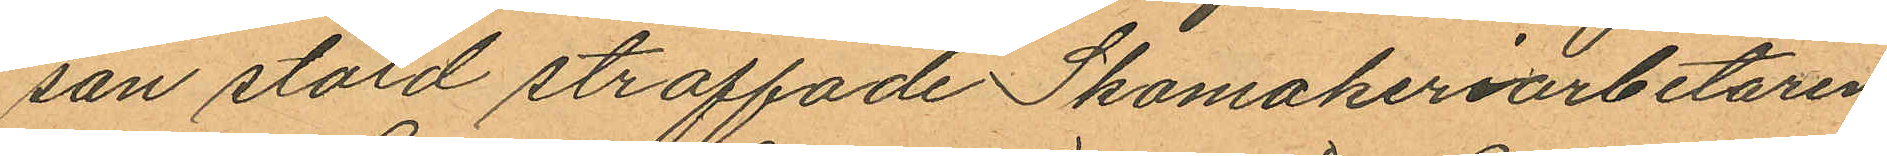san stöld straffade Skomakeriarbetaren
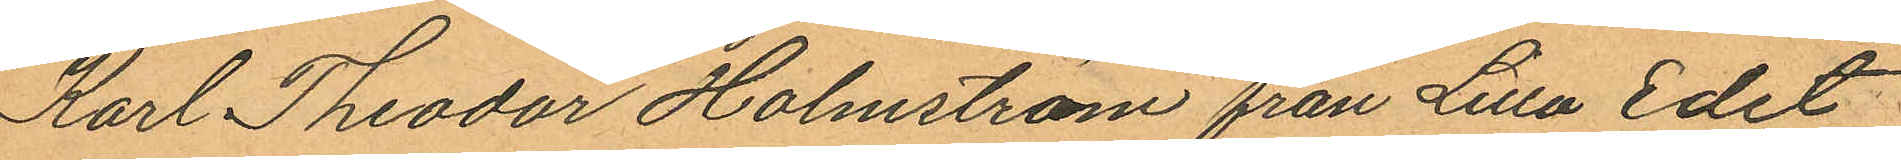Karl Theodor Holmström från Lilla Edet
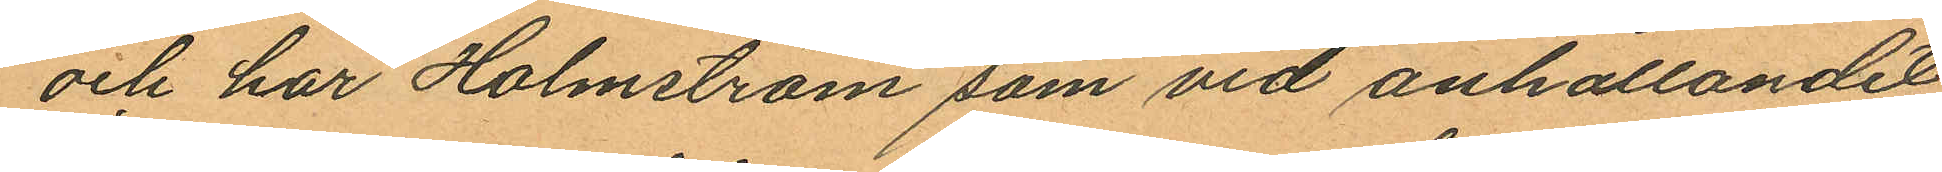och har Holmström som vid anhållandet
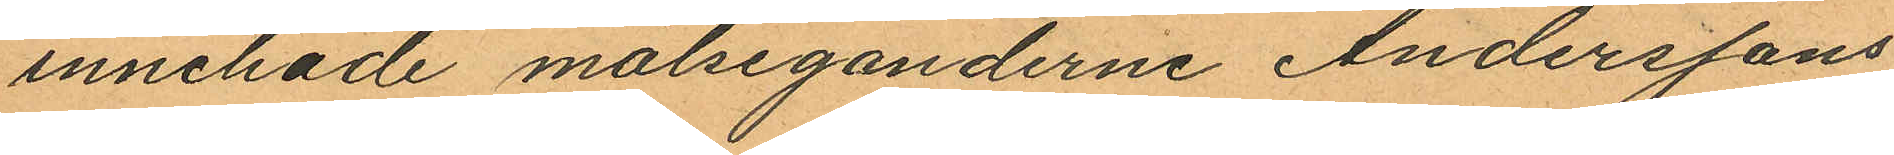innehade målseganderne Anderssons
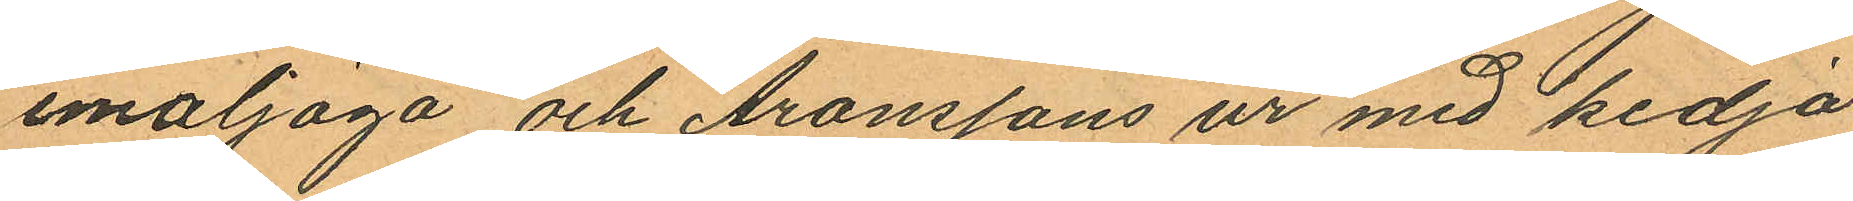emaljöga och Aronssons ur med kedja
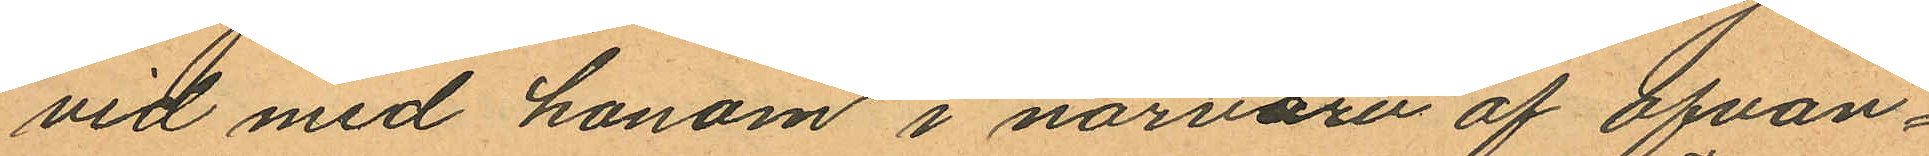vid med honom i närvaron af ofvan¬
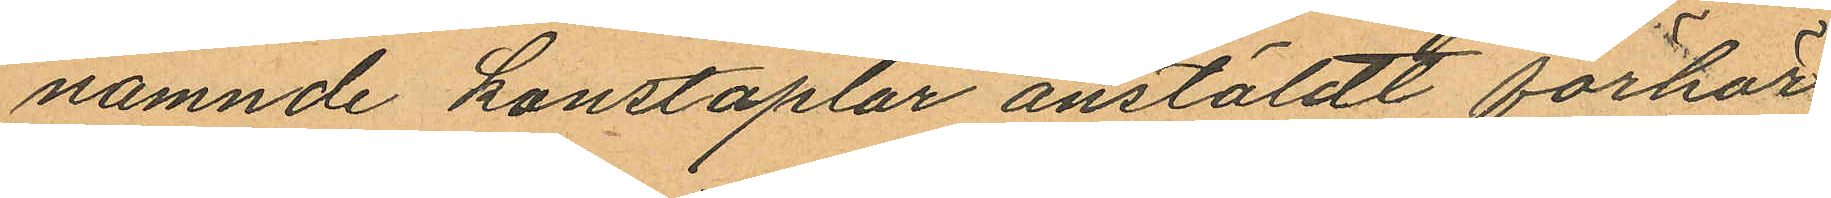nämnde konstaplar anstäldt förhör
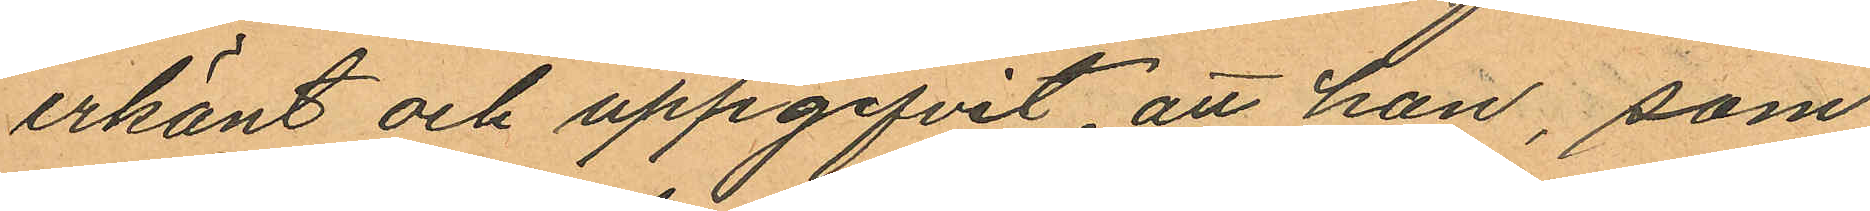erkänt och uppgifvit, att han, som
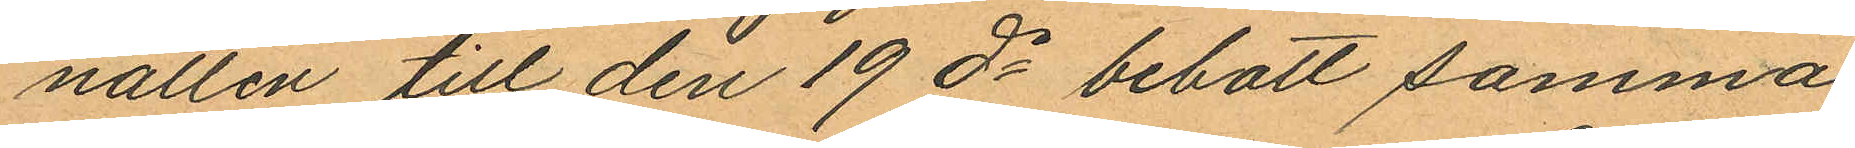natten till den 19 ds bebott samma
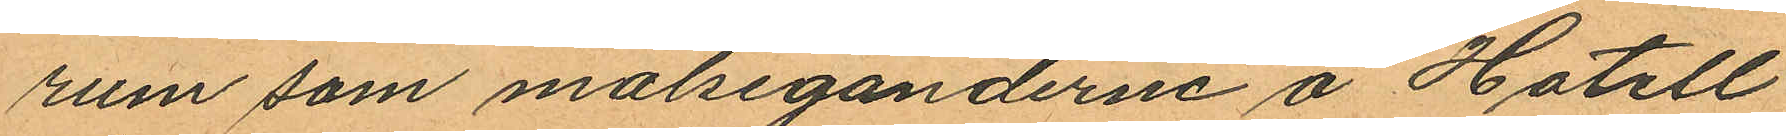rum som målseganderne å Hotell
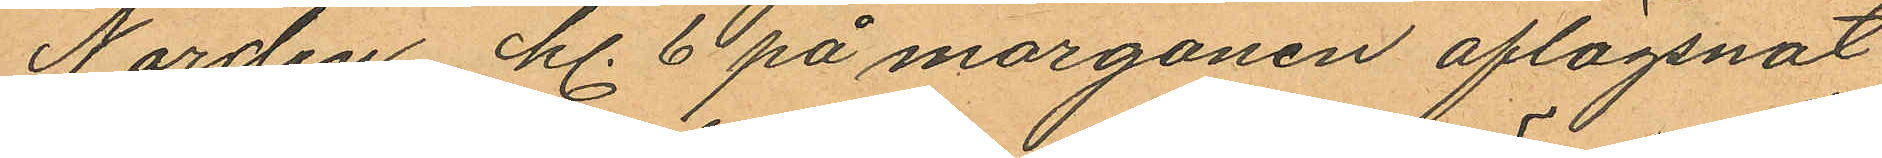Norden kl. 6 på morgonen aflägsnat
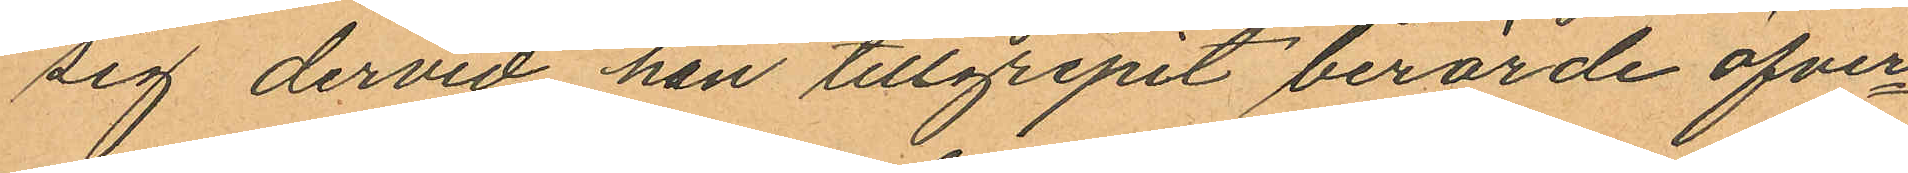sig dervid han tillgripit berörde öfver¬
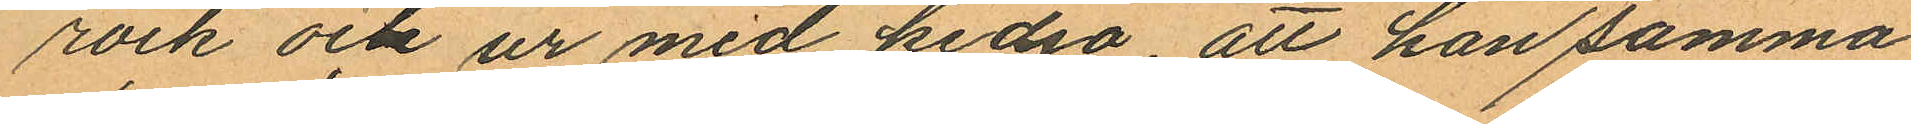rock och ur med kedja, att han samma
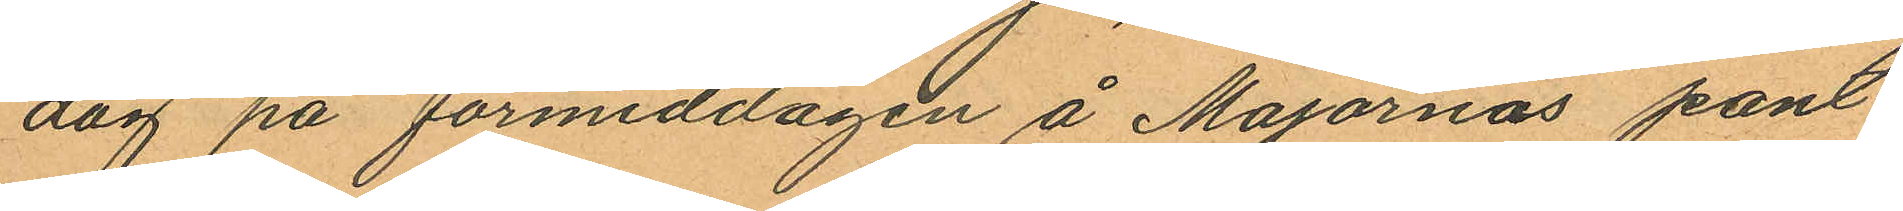dag på förmiddagen å Majornas pant¬
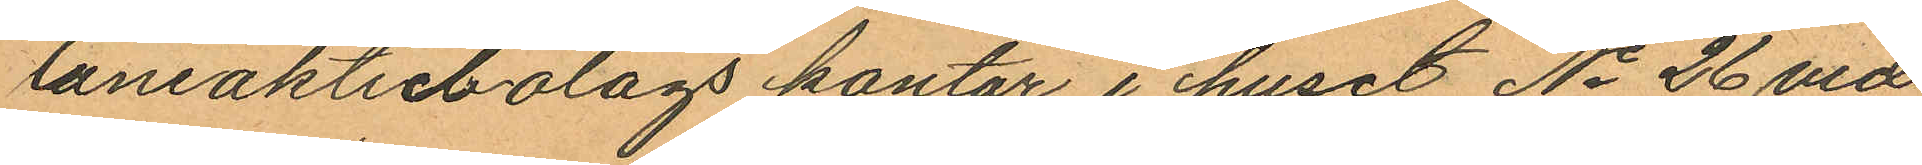låniaktiebolags kontor i huset No 26 vid
